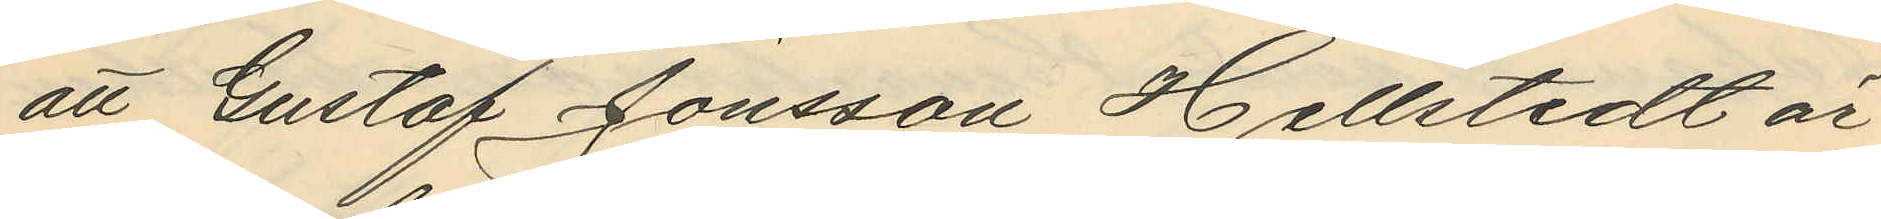att Gustaf Jönsson Hellstedt är
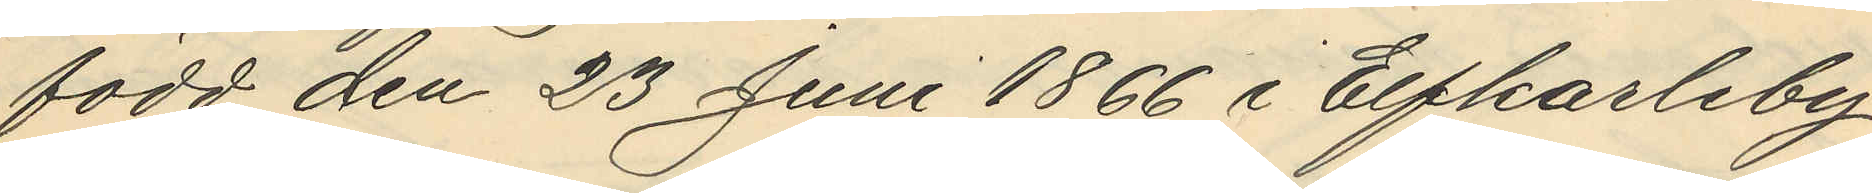född den 23 Juni 1866 i Elfkarleby
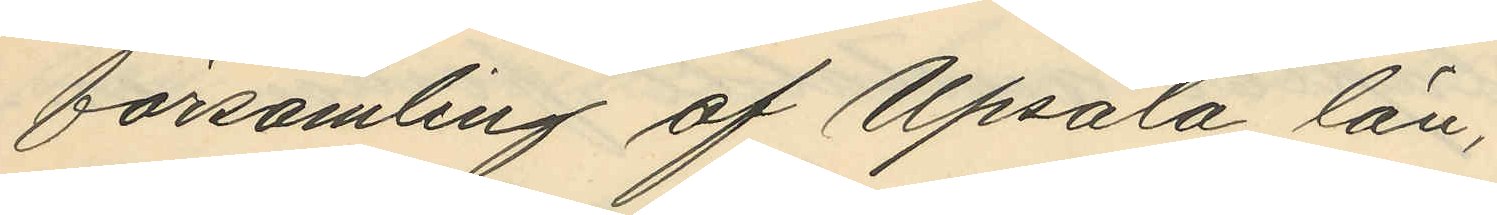församling af Upsala län,
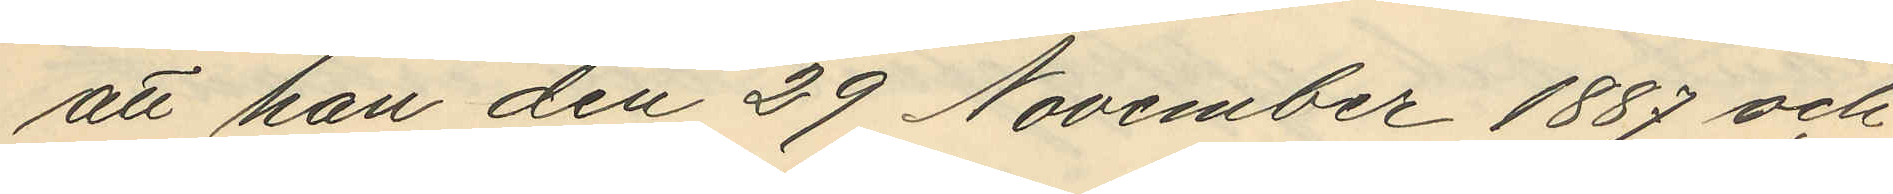att han den 29 November 1887 och
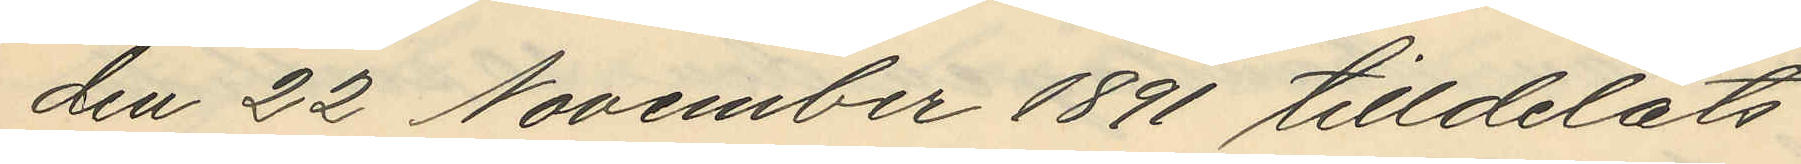den 22 November 1891 tilldelats
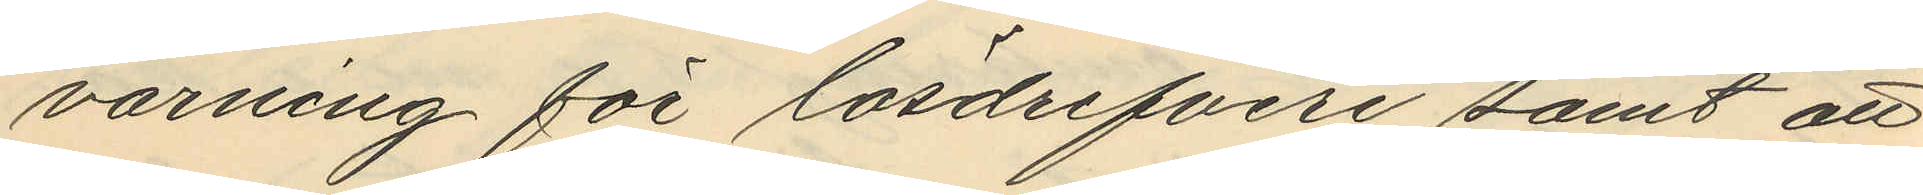varning för lösdrifveri samt att
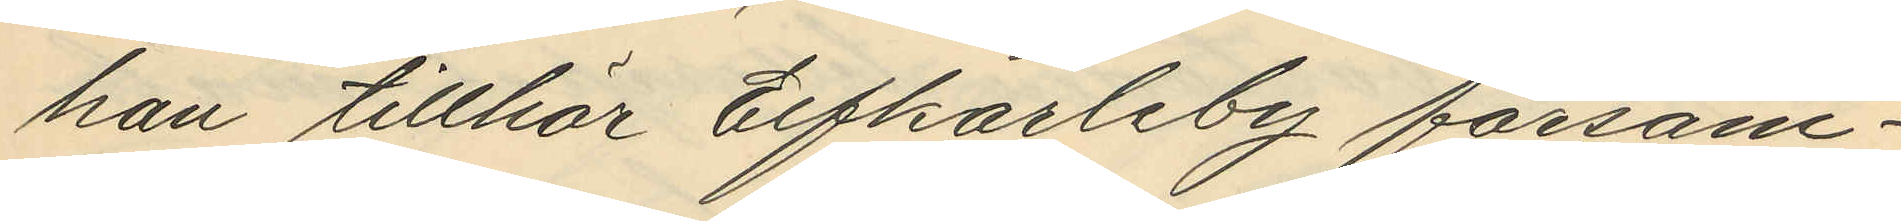han tillhör Elfkarleby försam¬
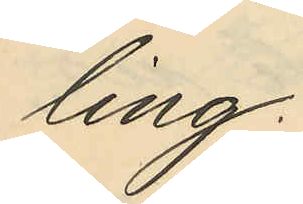ling.
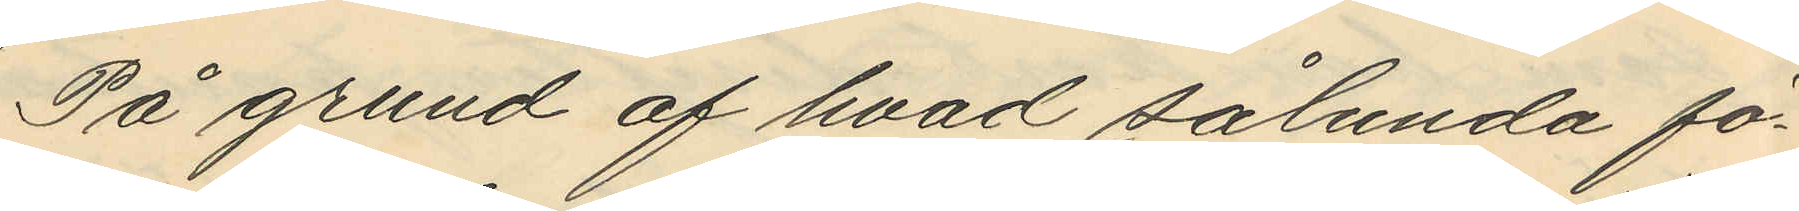På grund af hvad sålunda fö¬
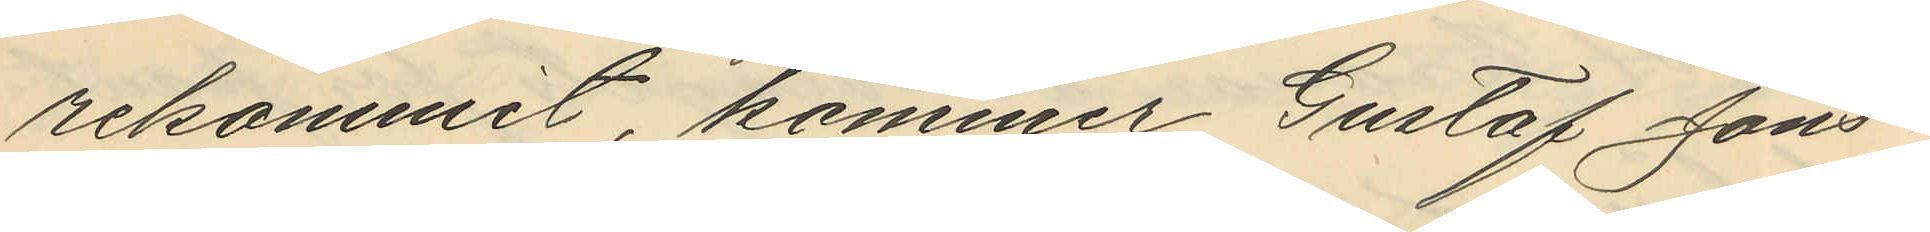rekommit, kommer Gustaf Jöns¬
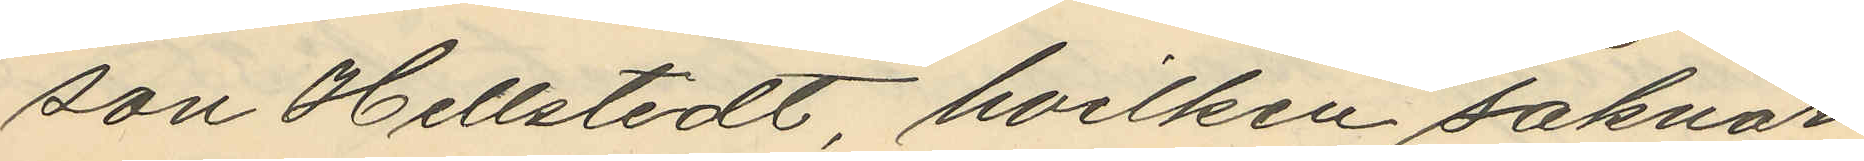son Hellstedt hvilken saknar
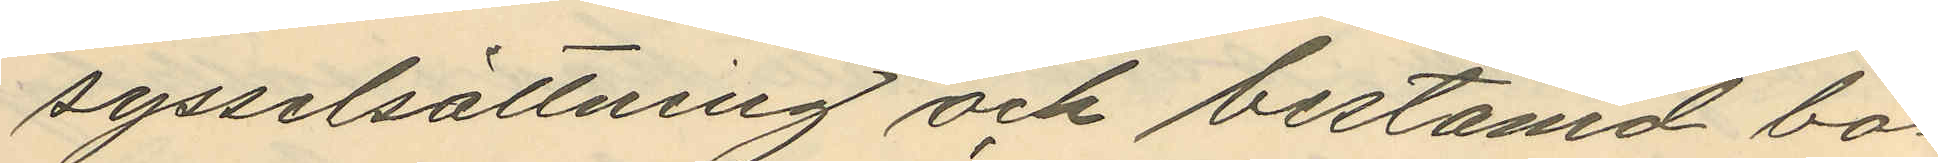sysselsättning och bestämd bo¬
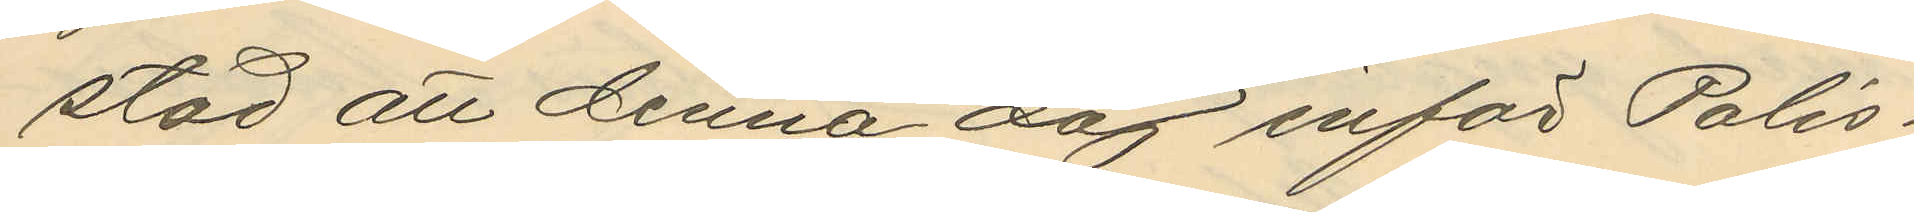stad att denna dag inför Polis¬
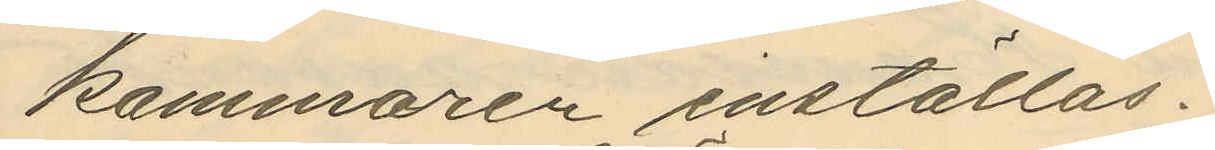kammaren inställas.
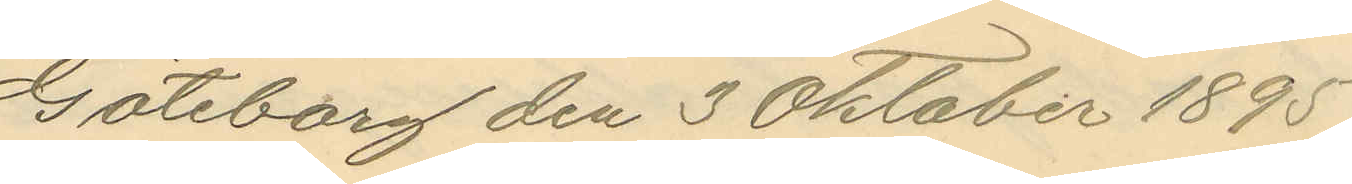Göteborg den 3 Oktober 1895
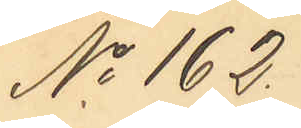No 162.
